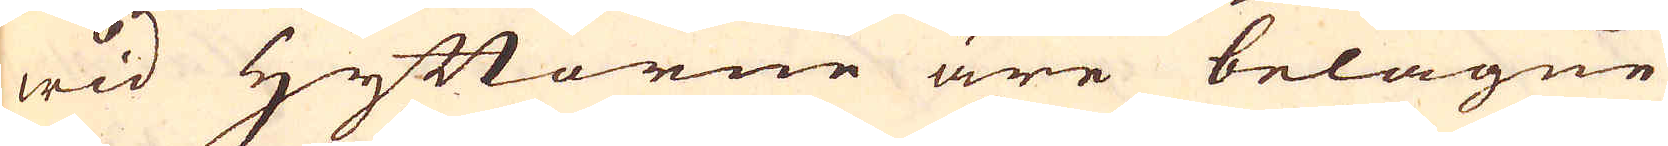wid Hyttorne äre belägne
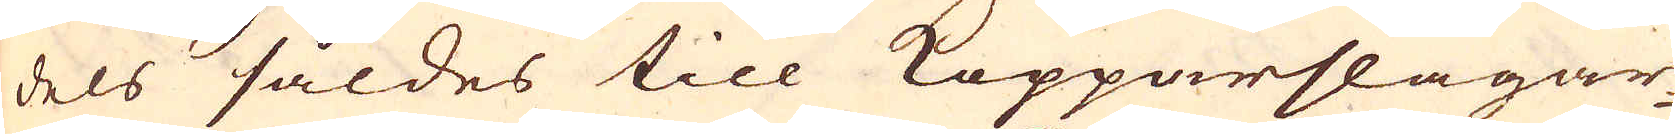dels såldes till Kopparslagar-
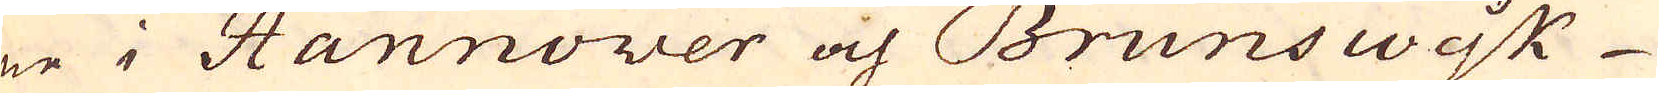ne i Hannower och Brunswijk
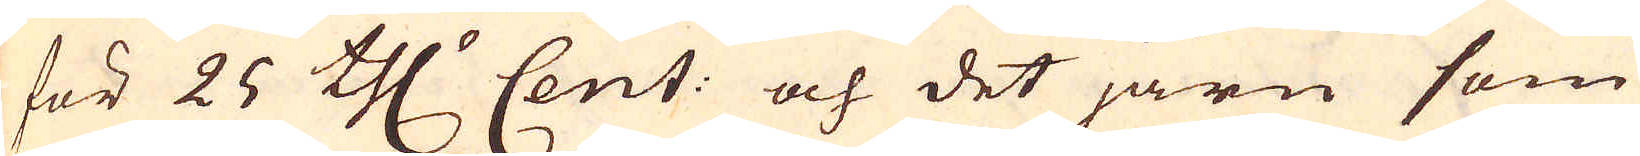för 25 th:r Cent: och det järn som
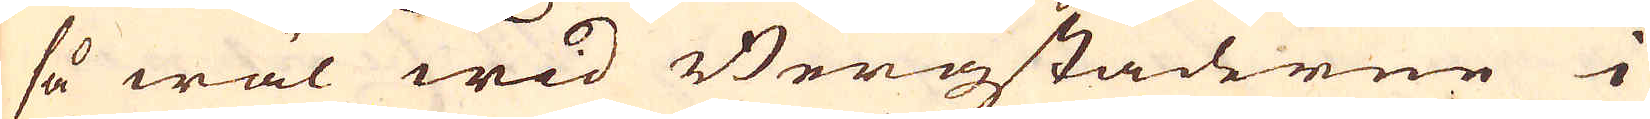så wäl wid Bergstäderne i
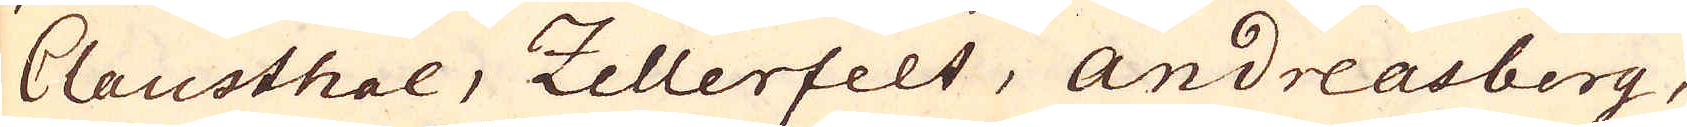Clausthal, Zellerfelt, Andreasberg,
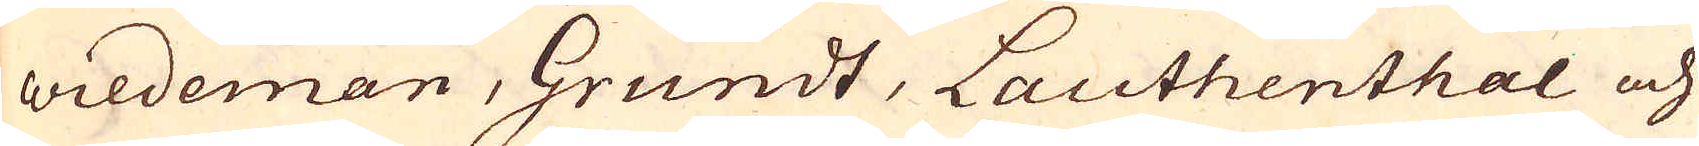Wildeman, Grundt, Lauthenthal och
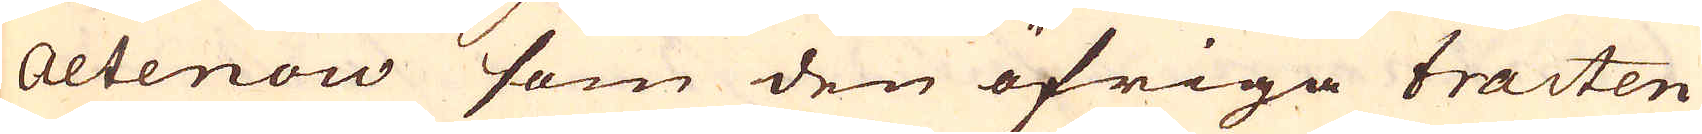Altenow som den öfriga tracten
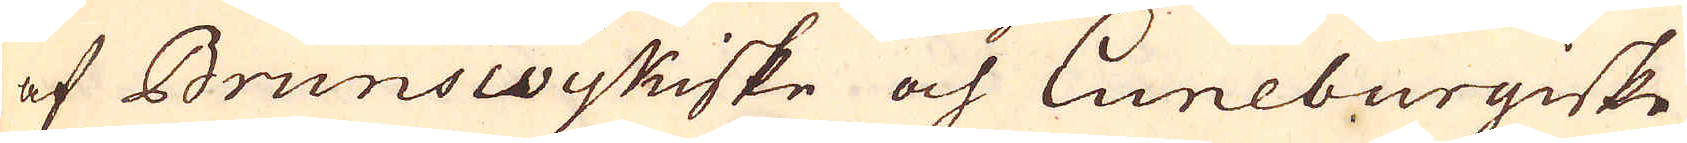af Brunswijkiske och Luneburgiske
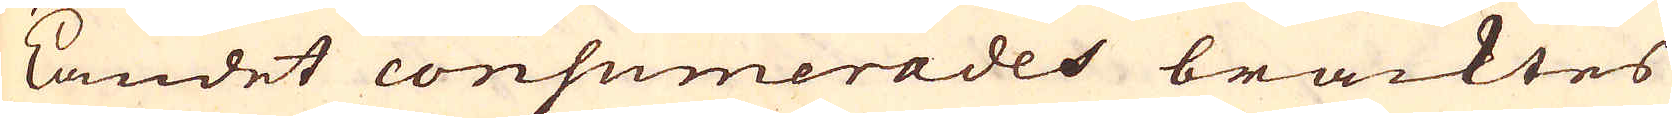Landet consumerades bracktes
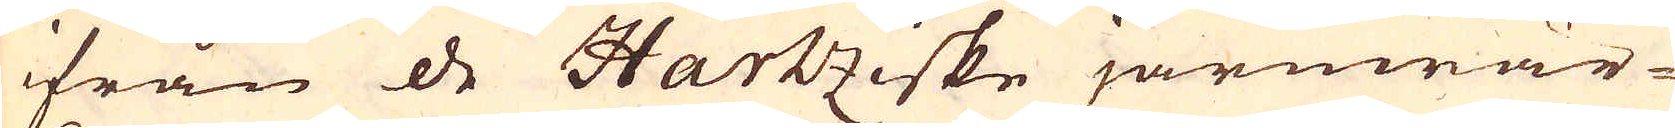ifrån de Hartziske järnwär-
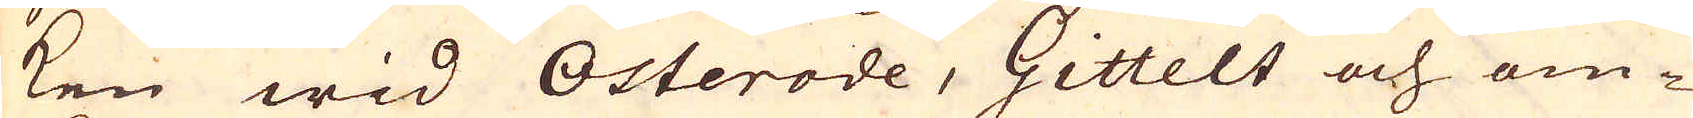ken wid Osterode, Gittelt och om-
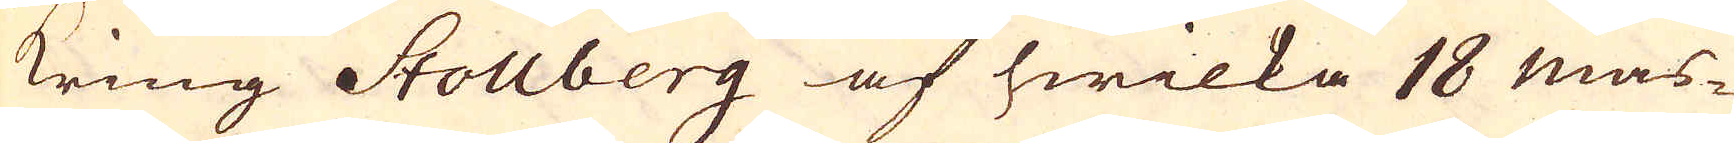kring Stollberg af hwilka 18 mas-
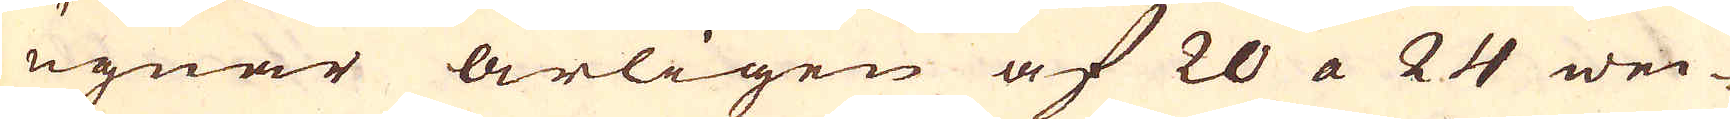ugnar årligen af 20 a 24 wec-
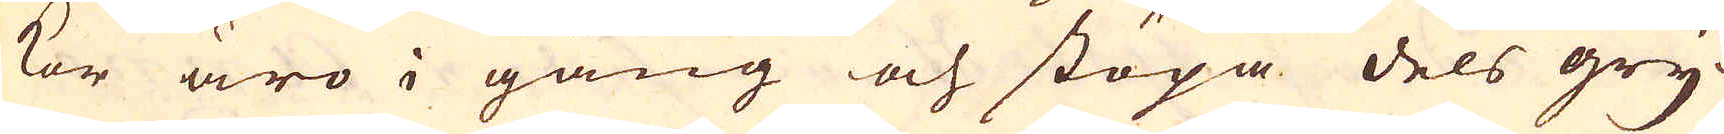kor äro i gång och stöpa dels gry-
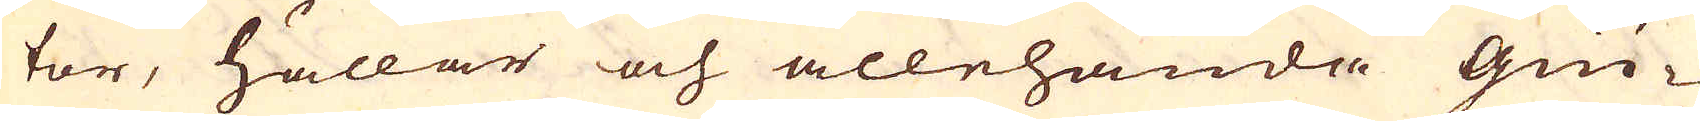tor, hällar och allehanda Giu-
